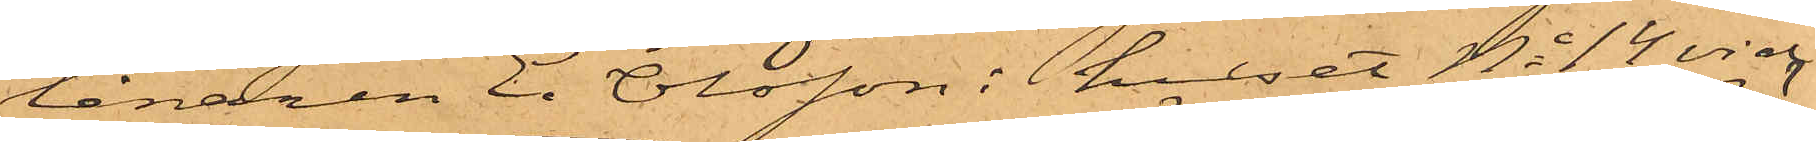lånaren E. Olsson i huset No 14 vid
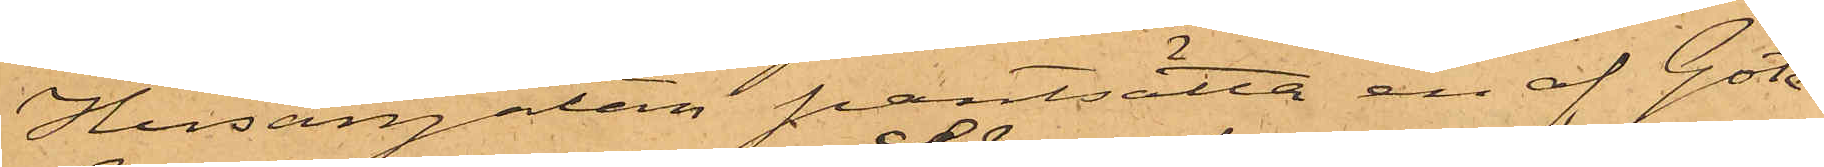Husargatan pantsatta en af Göte¬
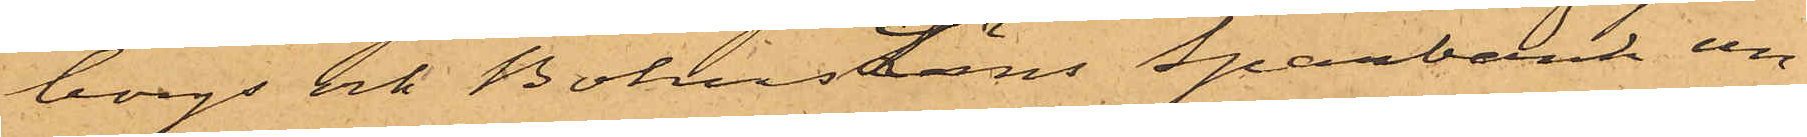borgs och BohusLäns Sparbank un¬
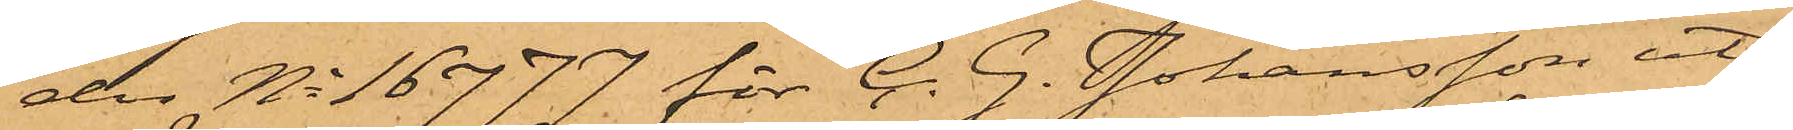der No 16777 för C. G. Johansson ut¬
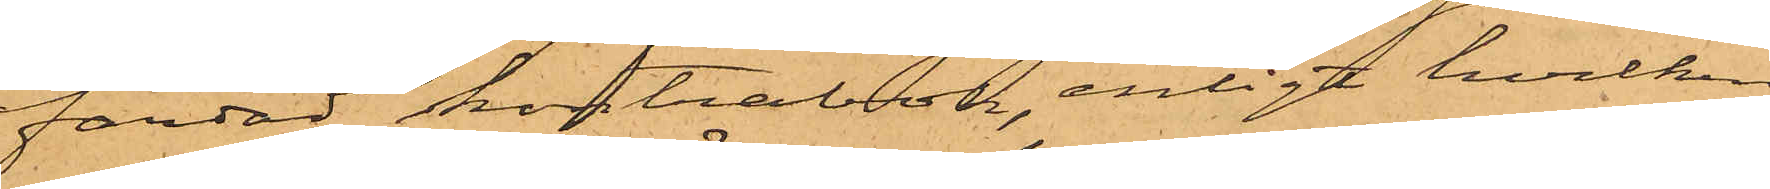färdad kontrabok, enligt hvilken
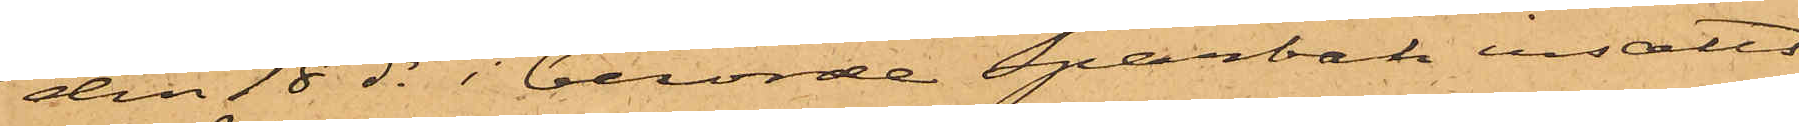den 18 ds i berörde sparbank insatts
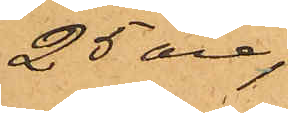25 öre,
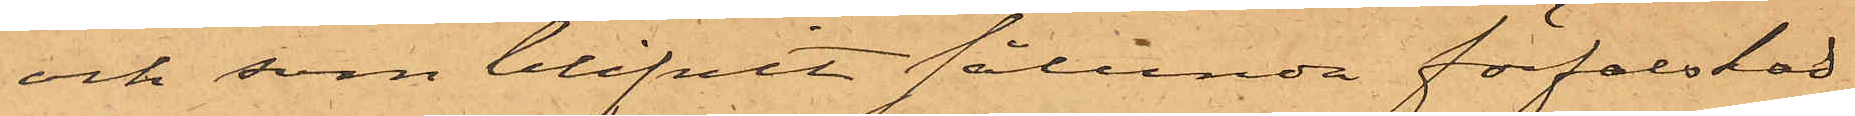och som blifvit sålunda förfalskad
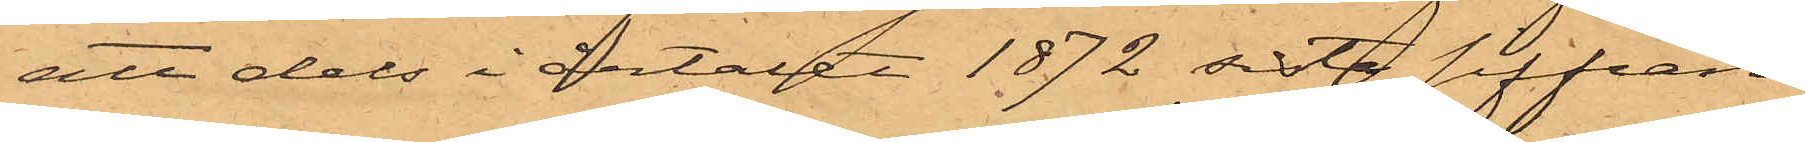att dels i årtalet 1872 sist siffran
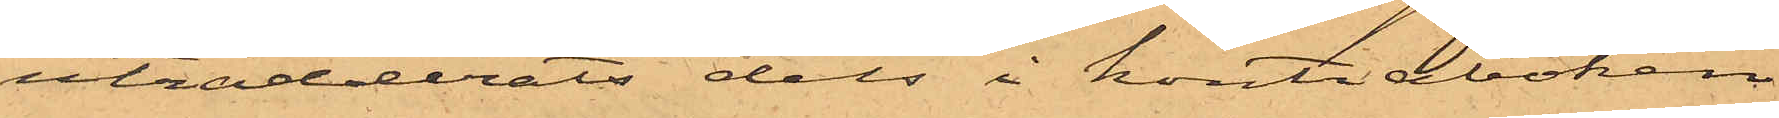utradderats dels i kontraboken
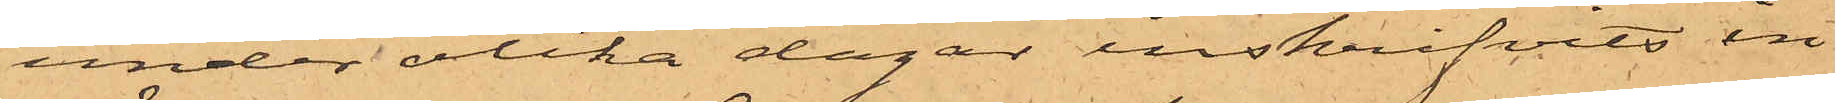under olika dagar inskrifvits in¬
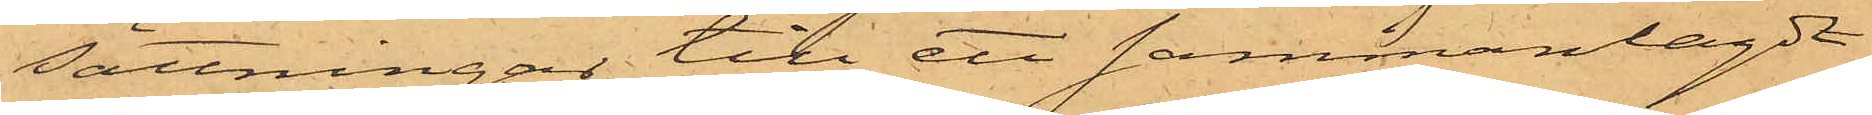sättningar till ett sammanlagdt
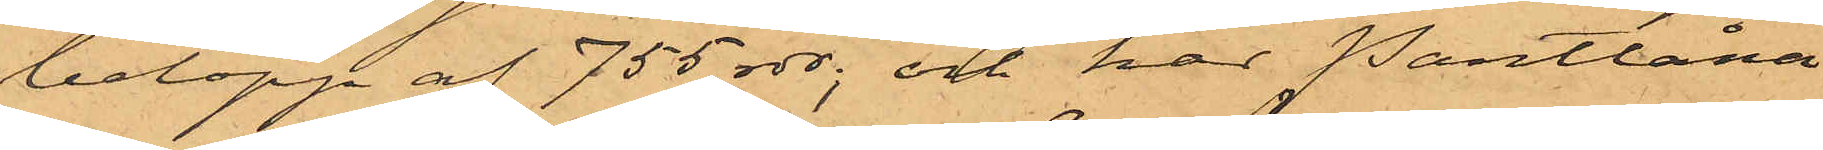belopp af 755 rdr; och har Pantlåna¬
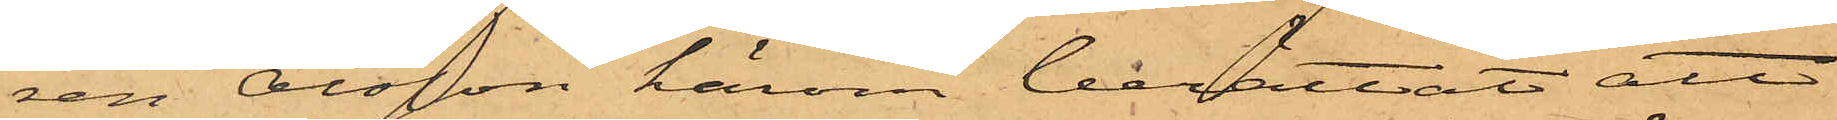ren Olsson härom berättat att
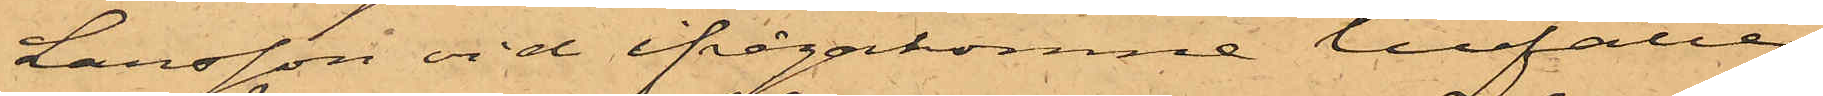Larsson vid ifrågakomne tillfälle
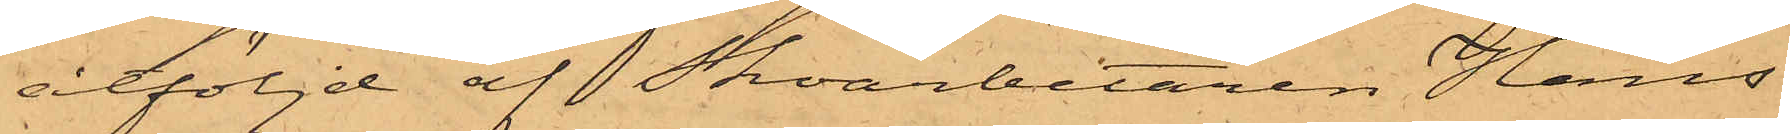åtföljd af Skoarbetaren Hans
